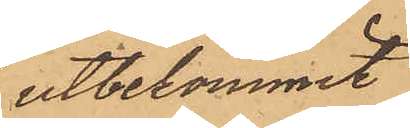utbekommit
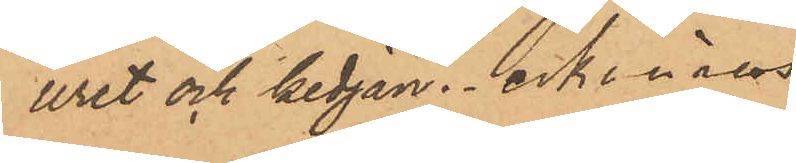uret och kedjan; erkänns
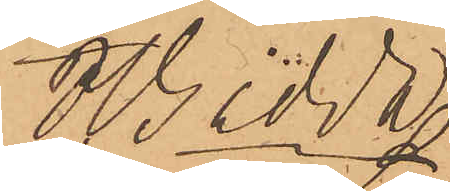J.V. Gedda
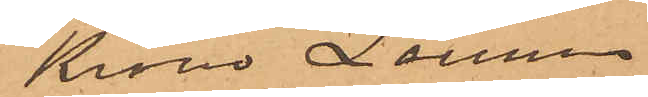Krono Länsman
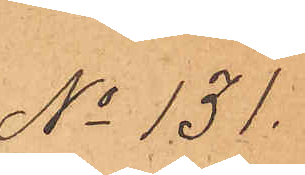No 131.
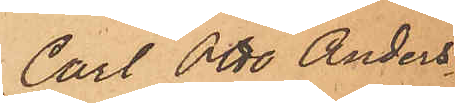Carl Otto Anders¬
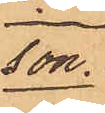son
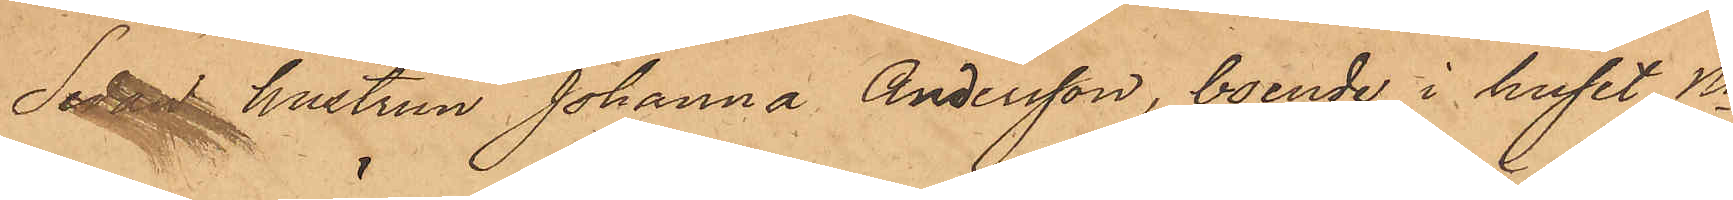Sedan hustrun Johanna Andersson, boende i huset No
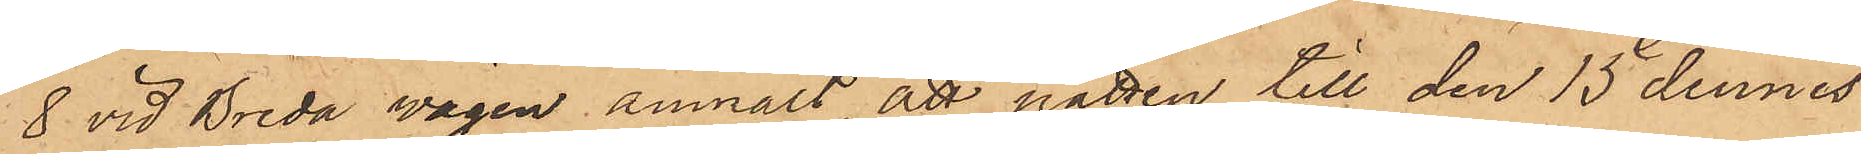8 vid Breda vägen anmält, att natten till den 15 dennes
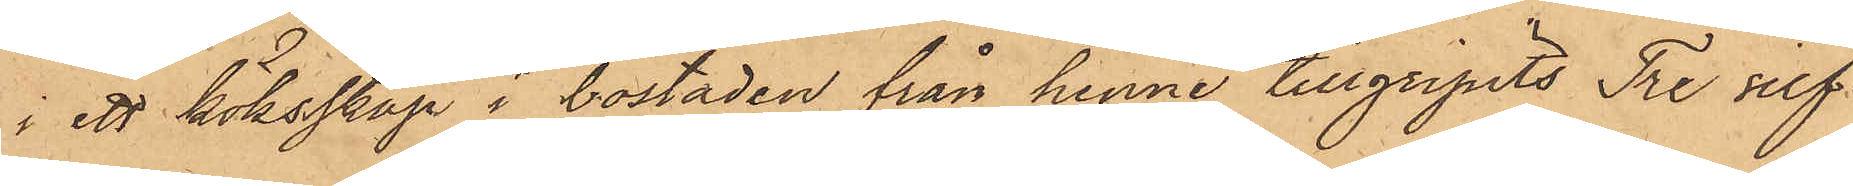i ett köksskåp i bostaden från henne tillgripits Tre silf¬
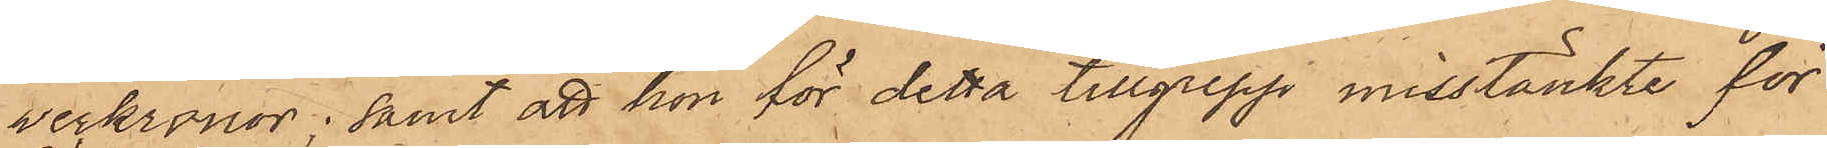verkronor; samt att hon för detta tillgrepp misstänkte för
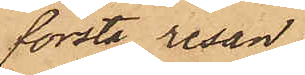första resan
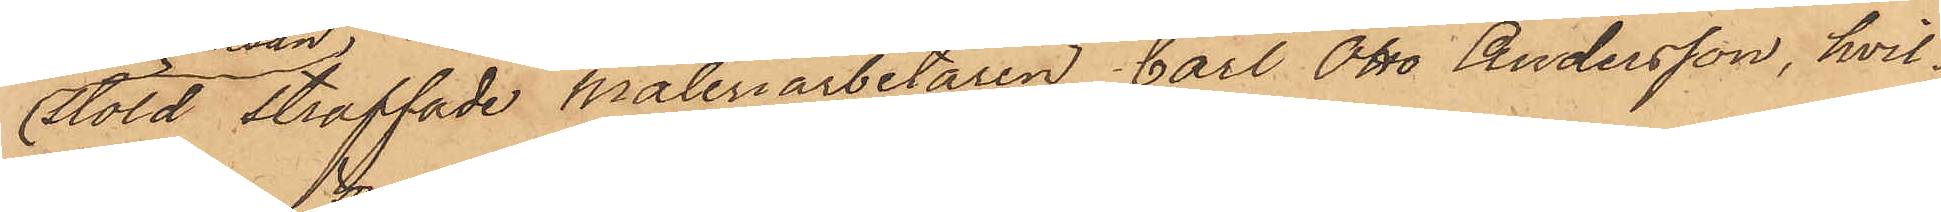stöld straffade måleriarbetaren Carl Otto Andersson, hvil¬
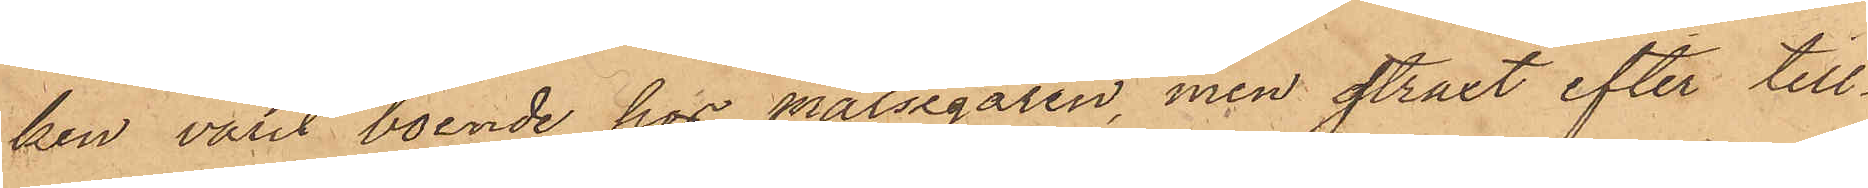ken varit boende hos målsegaren, men straxt efter till¬
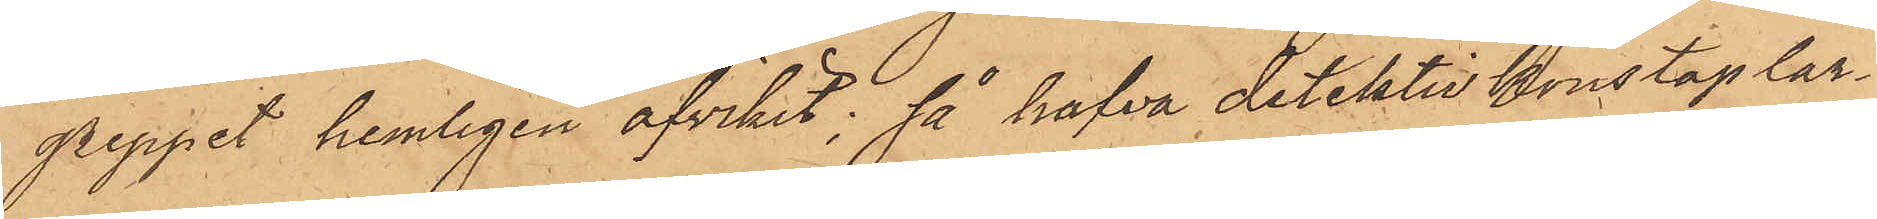greppet hemligen afvikit, så hafva detektivkonstaplar¬
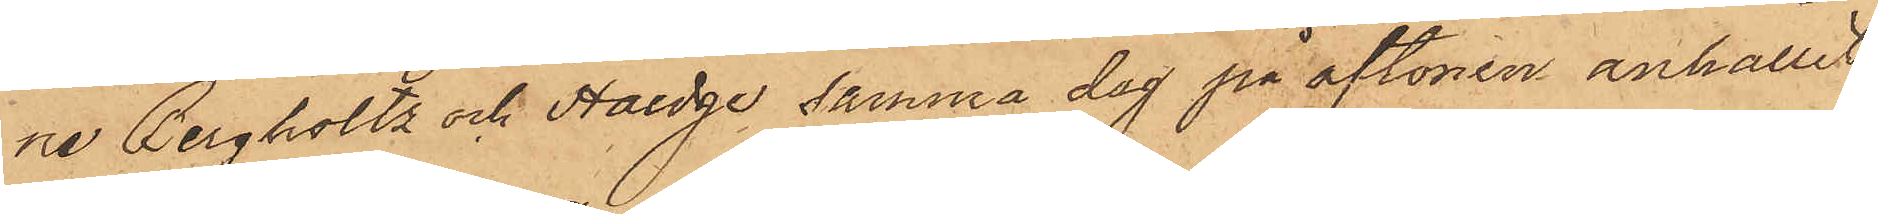ne Bergholtz och Haedge samma dag på aftonen anhållit
